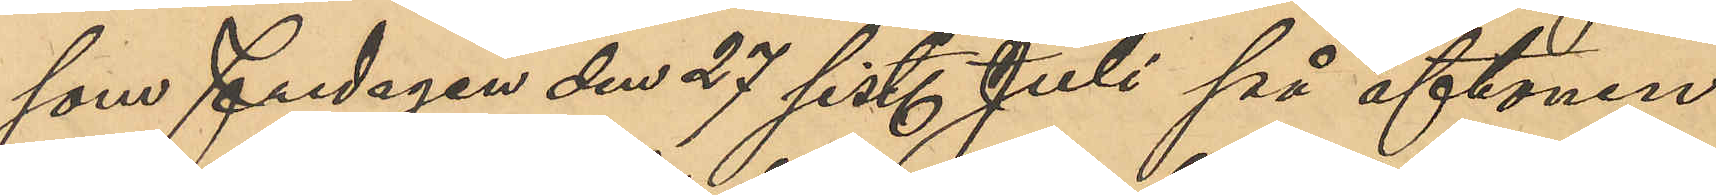som Fredagen den 27 sist. Juli på aftonen
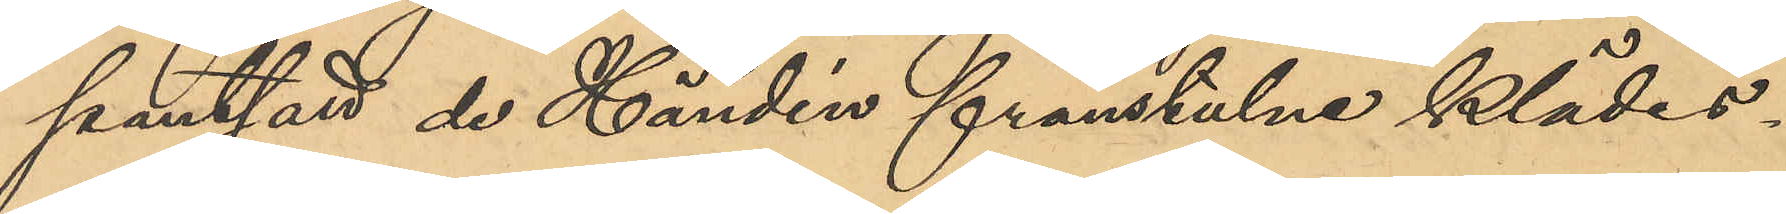pantsatt de Händén frånstulne klädes¬
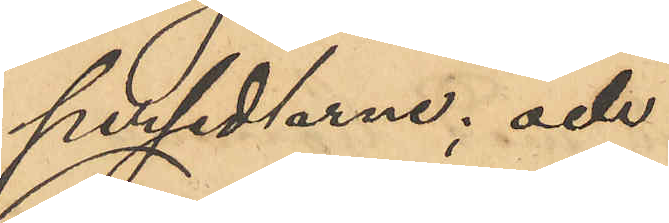persedlarne; och
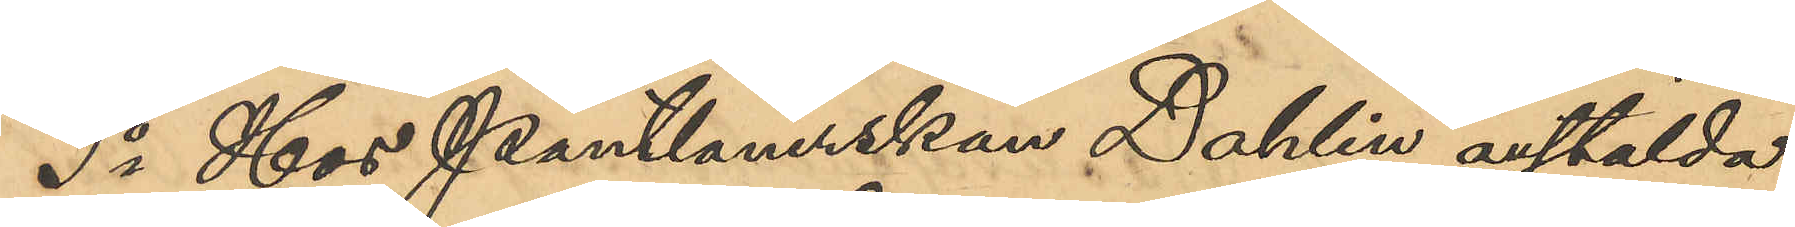3o Hos Pantlånerskan Dahlin anstälda
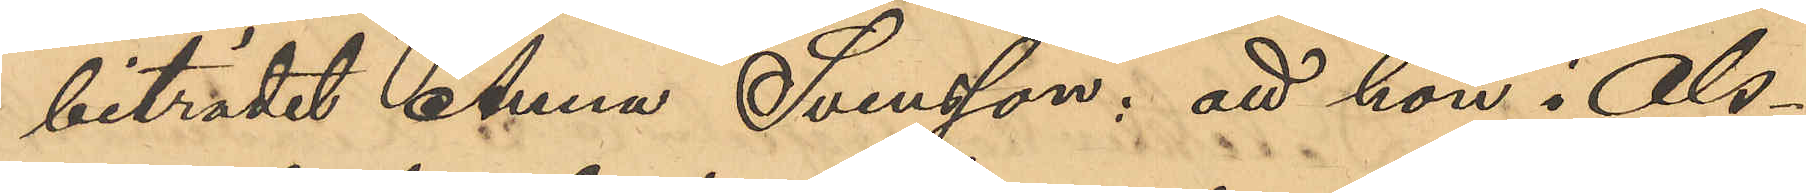biträdet Anna Svensson: att hon i Ols¬
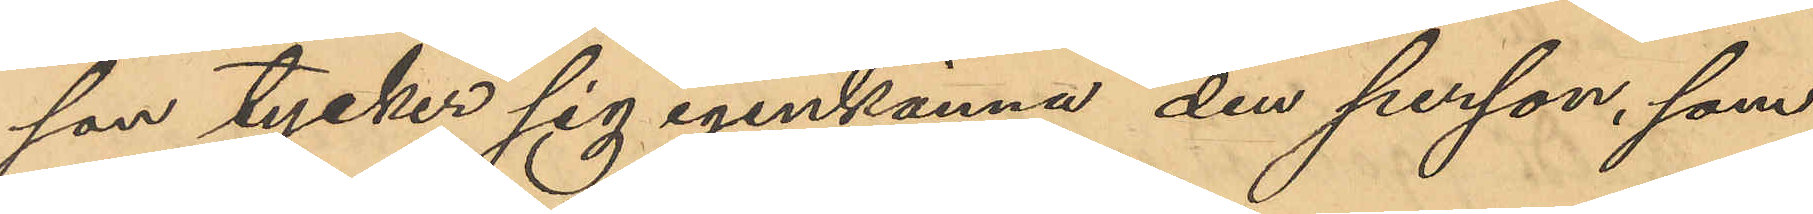son tycker sig igenkänna den person, som
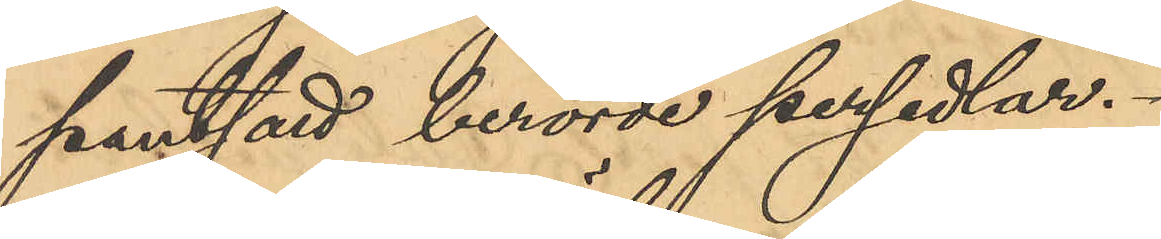pantsatt berörde persedlar.
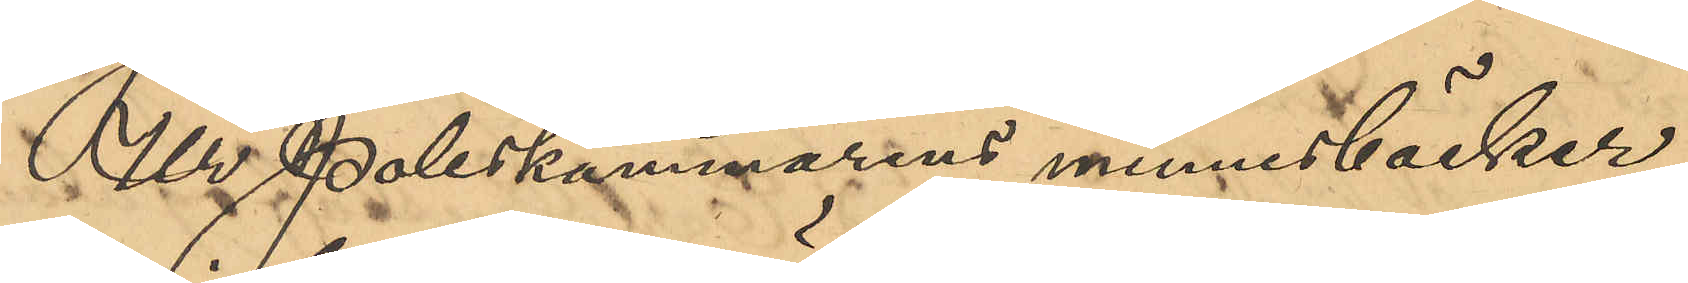Ur Poliskammarens minnesböcker
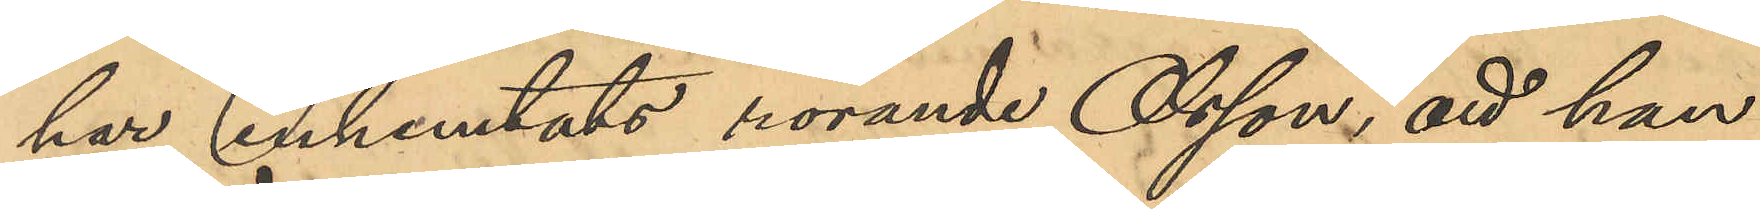har inhemtats rörande Olsson, att han
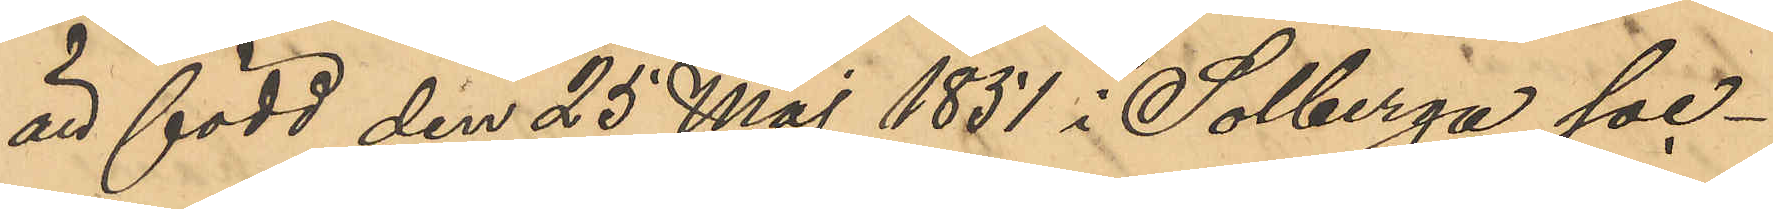är född den 25 Maj 1851 i Solberga soc¬
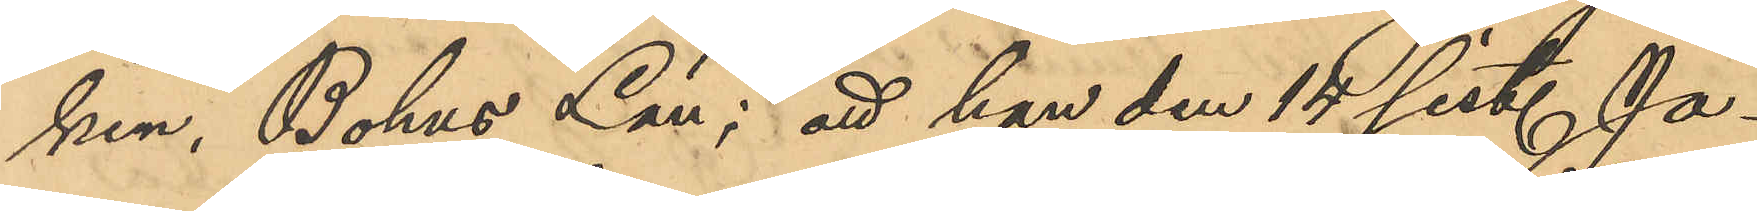ken, Bohus Län; att han den 14 sist. Ja¬
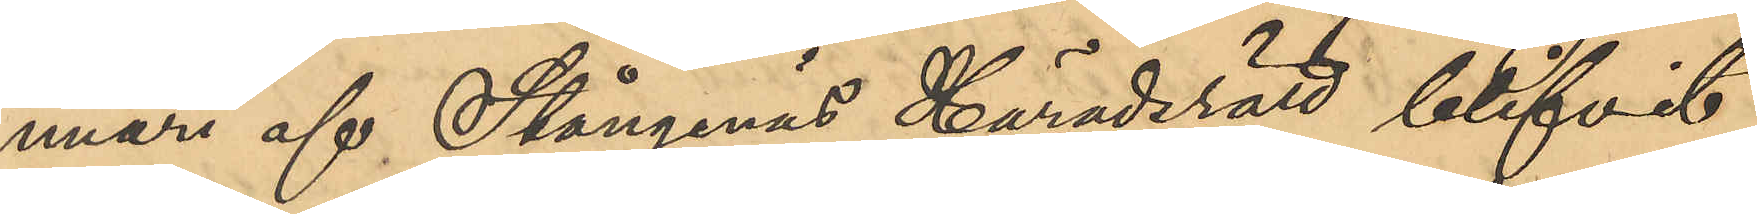nuari af Stångenäs Häradsrätt blifvit
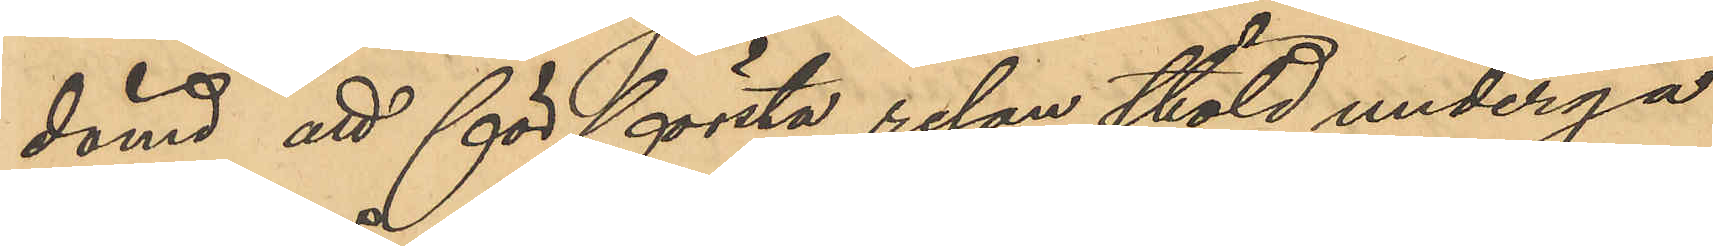dömd att för första resan stöld undergå
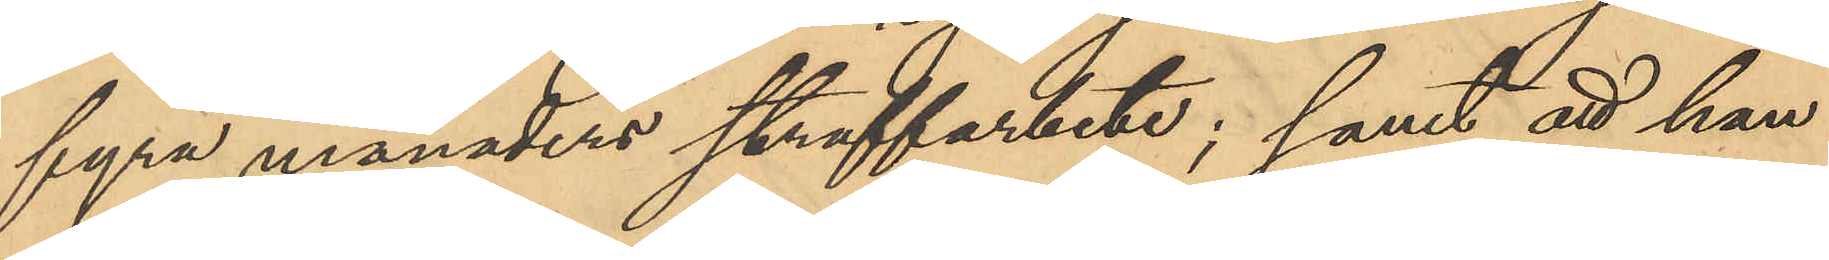fyra månaders straffarbete; samt att han
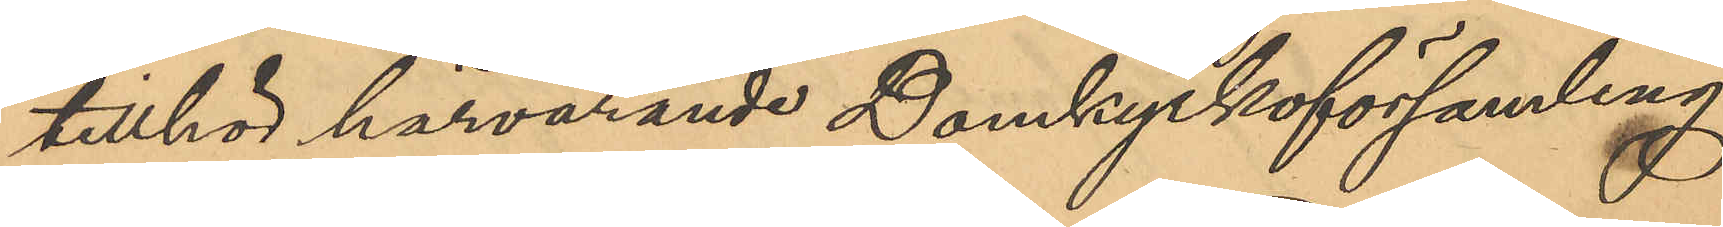tillhör härvarande Domkyrkoförsamling.
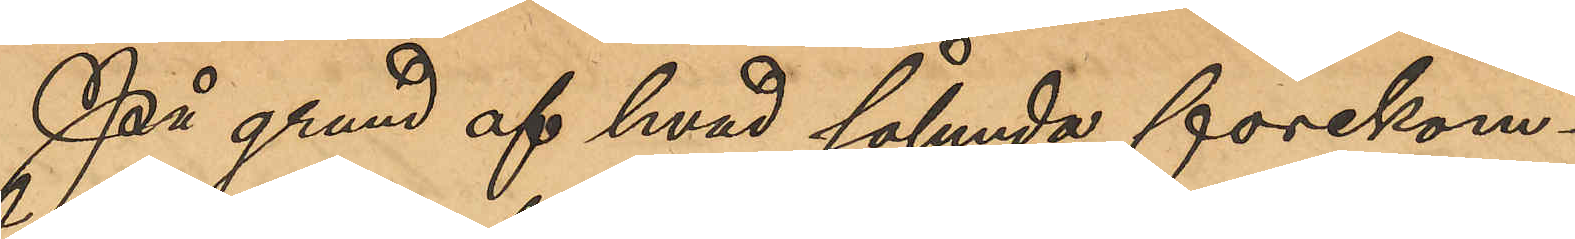På grund af hvad sålunda förekom¬
